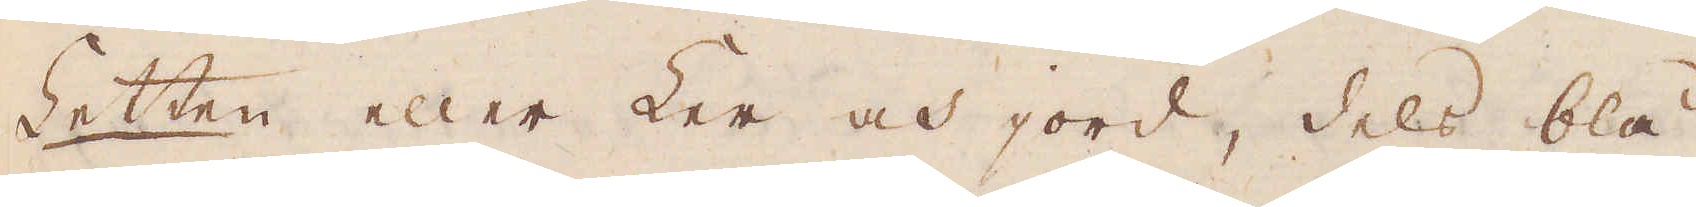Letten eller Ler och jord, dels blå
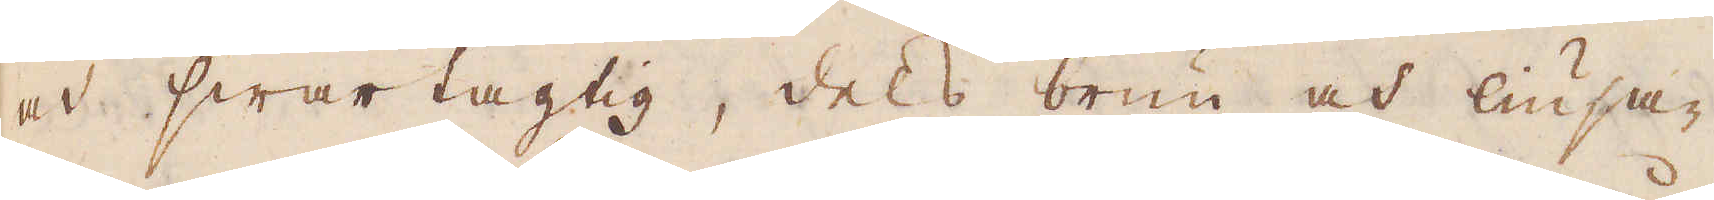och swartagtig, dels brun och liusa-
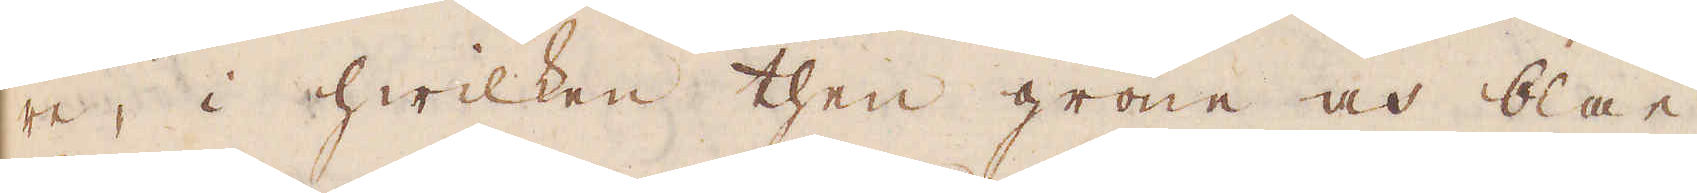re, i hwilken then gröne och blåe
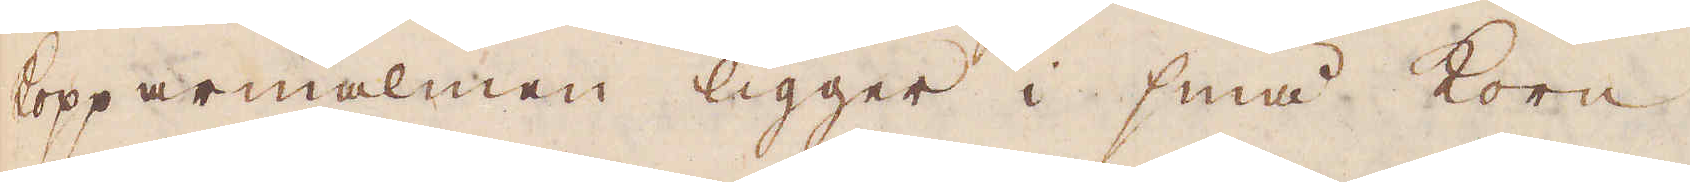kopparmalmen ligger i små korn,
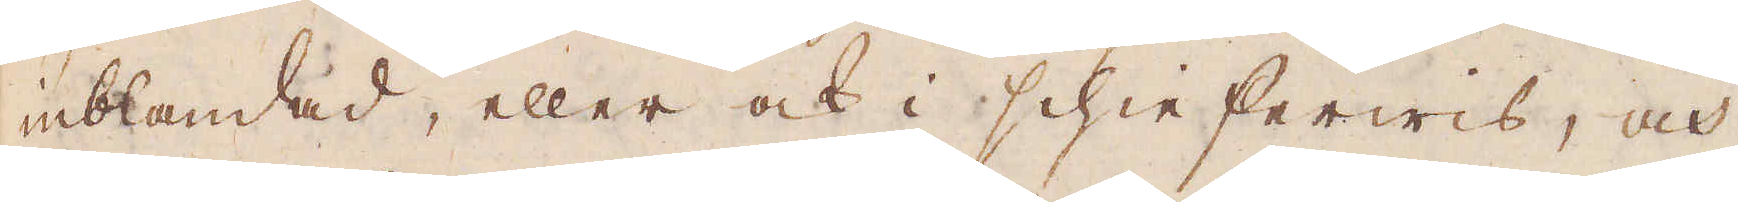inblandad, eller ock i schieserwis, och
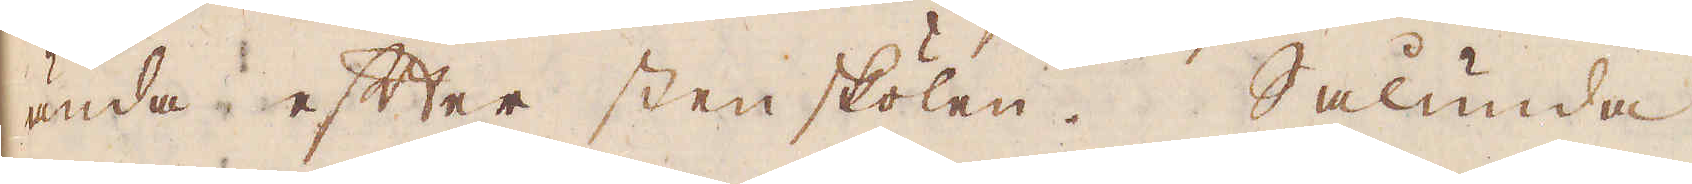ända efter sten skölen. Sålunda
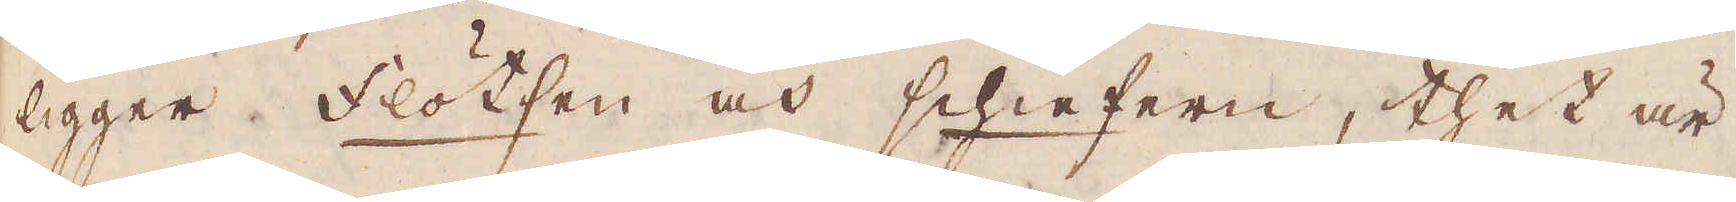ligger flötsen och schiefern, thet är
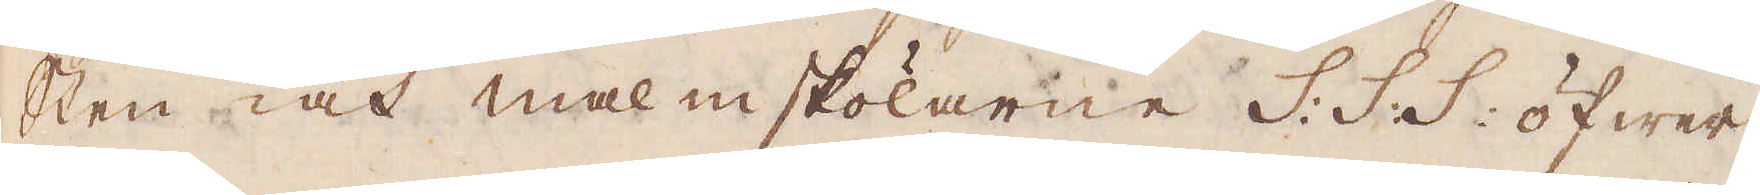sten och malmskölarne s. s. s. öfwer
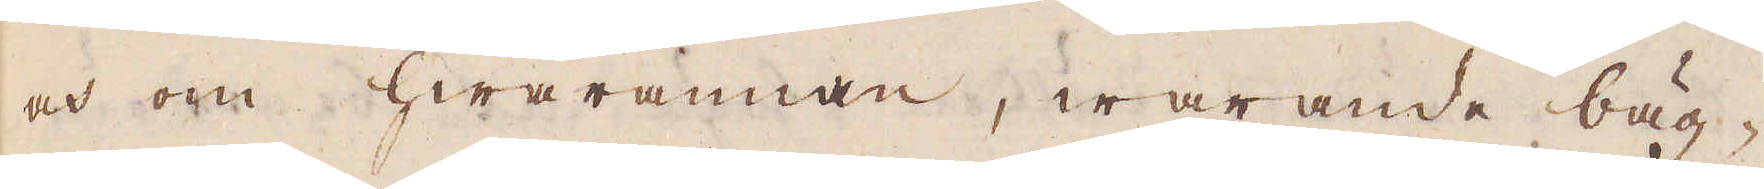och om hwarannan, warande bäg-
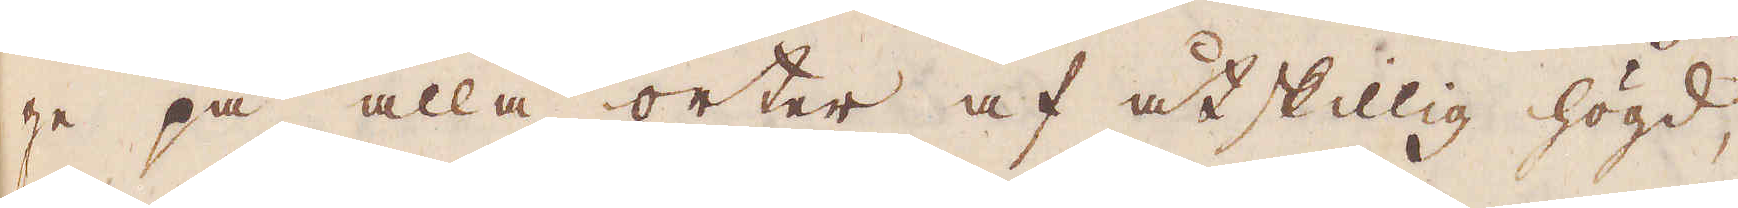ge på alla orter af åtskillig högd,
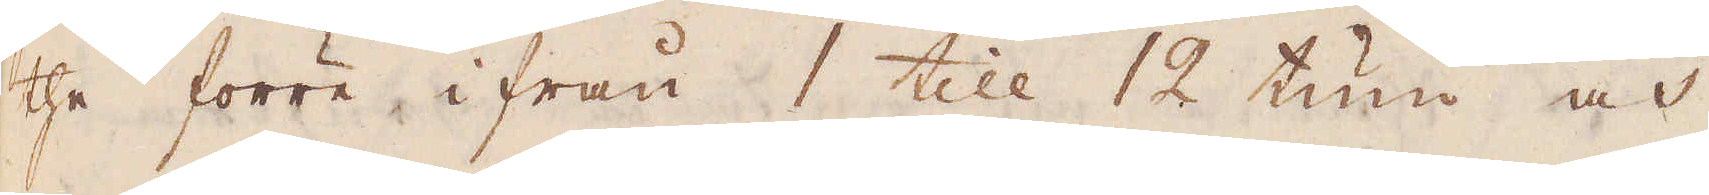the förre ifrån 1 till 12 tum och
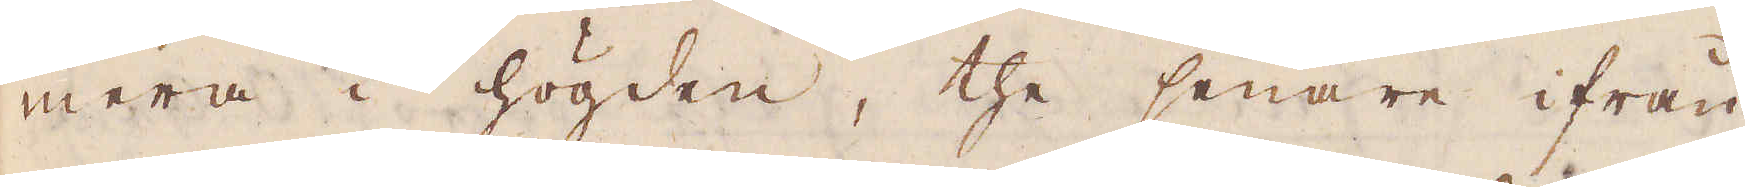mera i högden, the senare ifrån
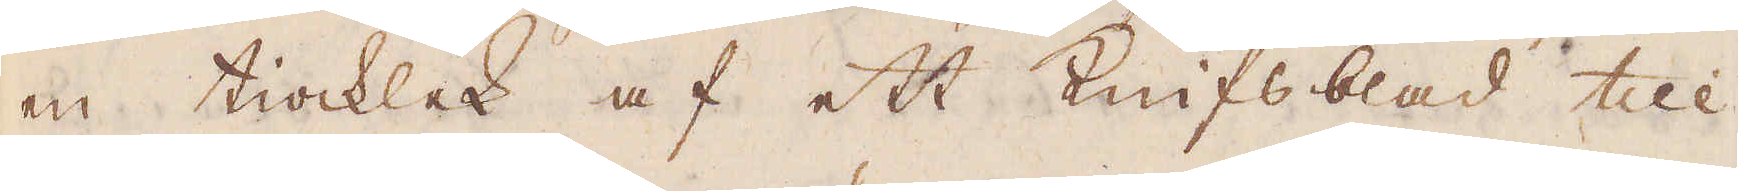en tiocklek af ett Knifsblad till
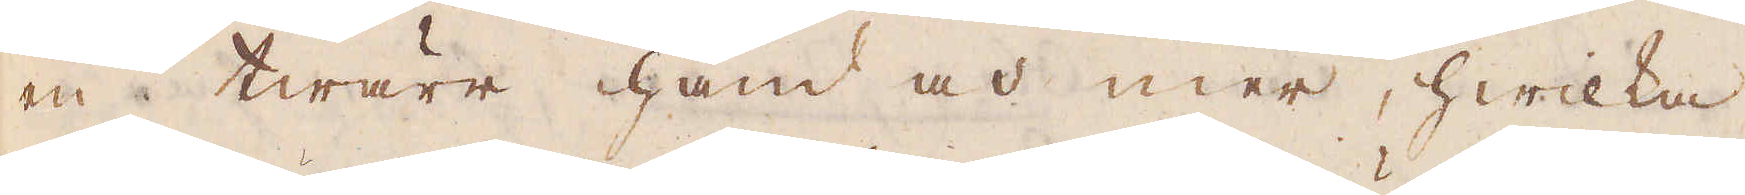en twärr hand och mer, hwilka
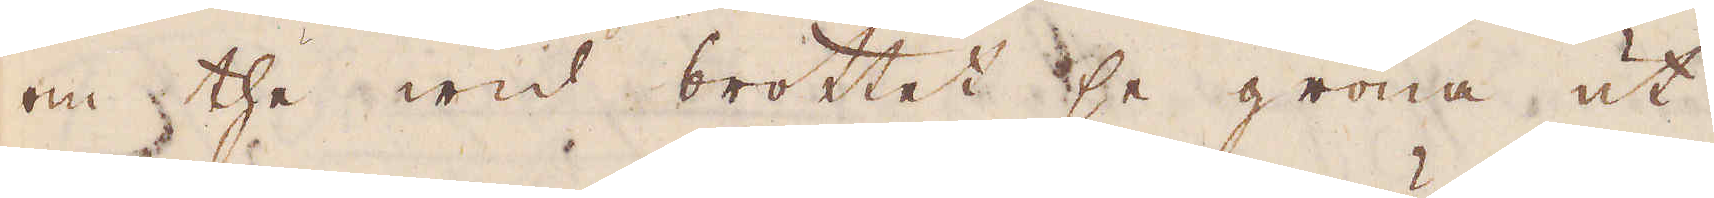om the wid brottet se gröna ut
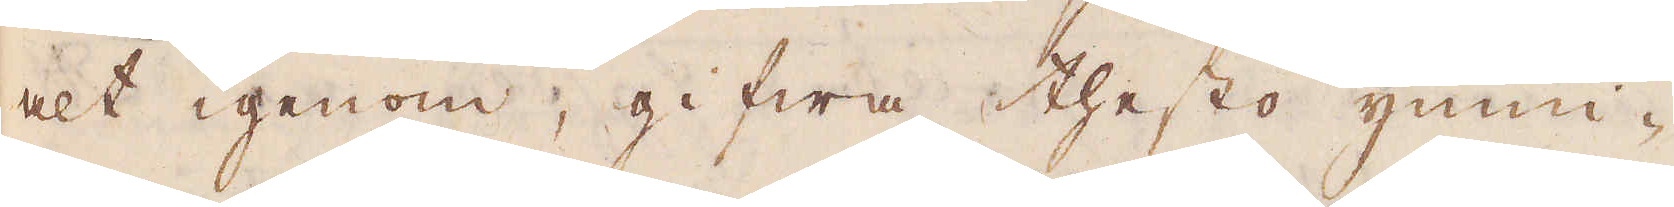alt igenom, gifwa thesto ymni-
